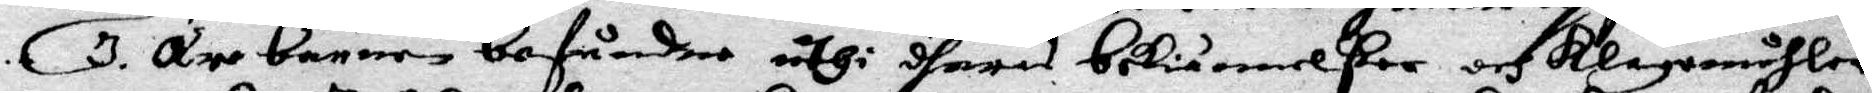3. Äre barnen befundne uthi dheras bekiännelser och klagomåhler
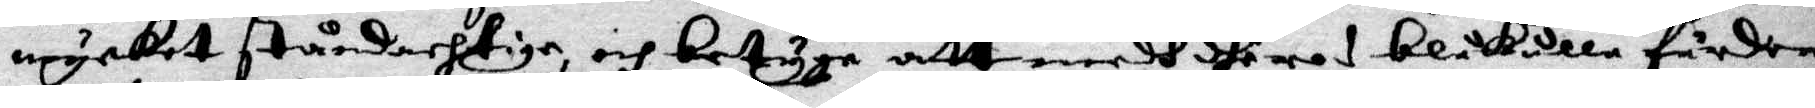mycket ståndachtige, och betyga att medh dheras blåkulla färder
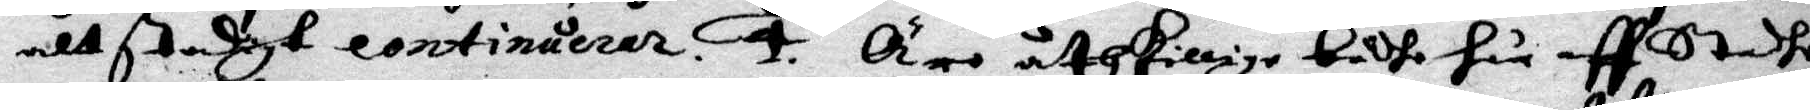alt tadigt continuerar. 4. Äro åtskillige bådhe här aff Staden
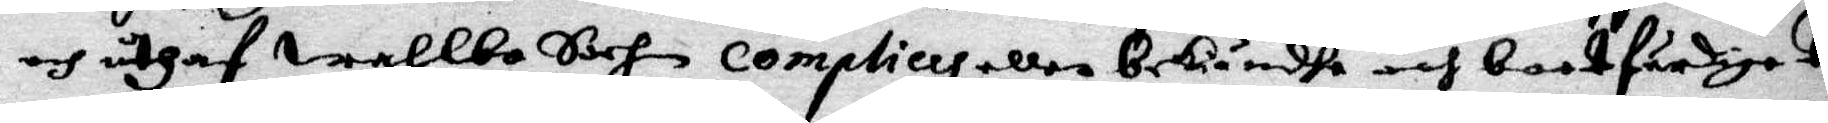och uthaf Wahlbo Sochn complices eller bekändhe och bootfärdige tri¬
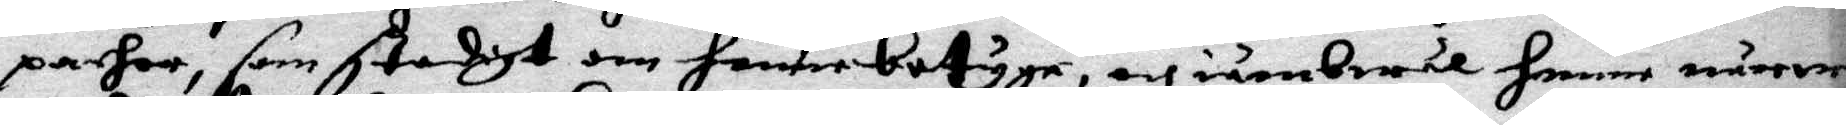parher, som stadigt om henne betygar, och iämbwäl henne närrwa¬
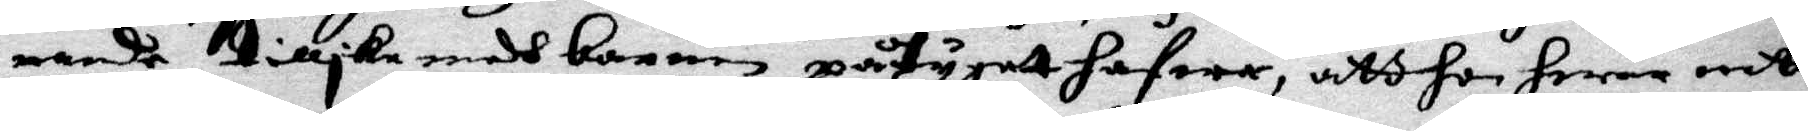rande tillika medh barnen påtygatt hafwer, att hon hwar medh
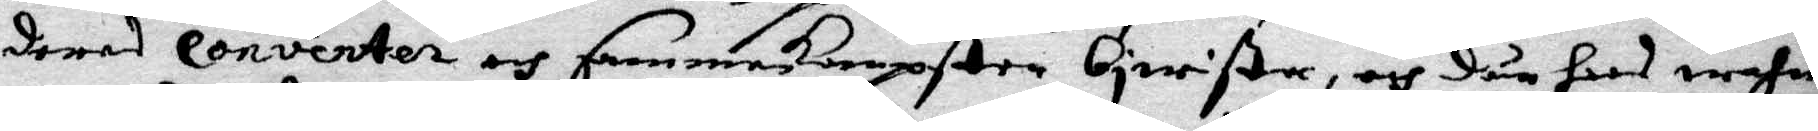deras conventer och sammankompster bewista, och dän hoos wahn¬
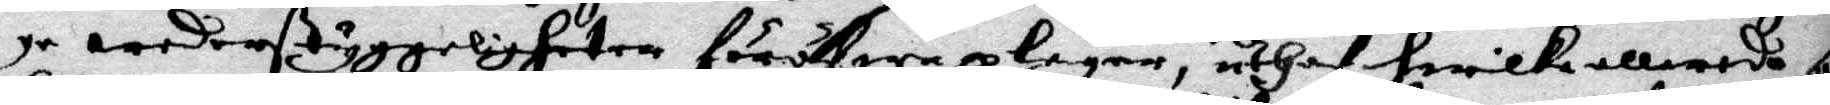ge wederstyggeligheter föröfwa plegar, uthaf hwilke allereda som¬
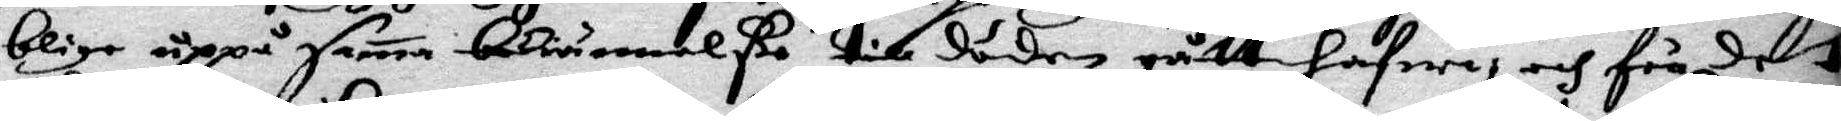blige uppå sama bekiännelße till döden gått hafwa, och för det
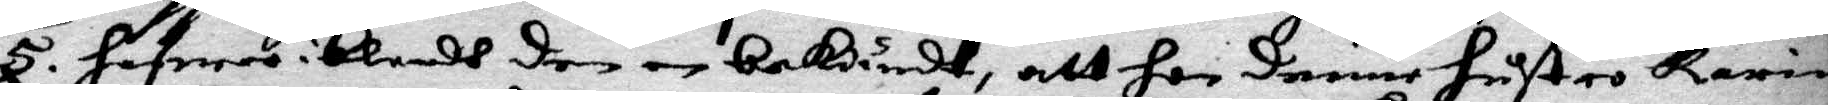5. hafwer iblandh denne bekiändt, att hon denne hustru Karin
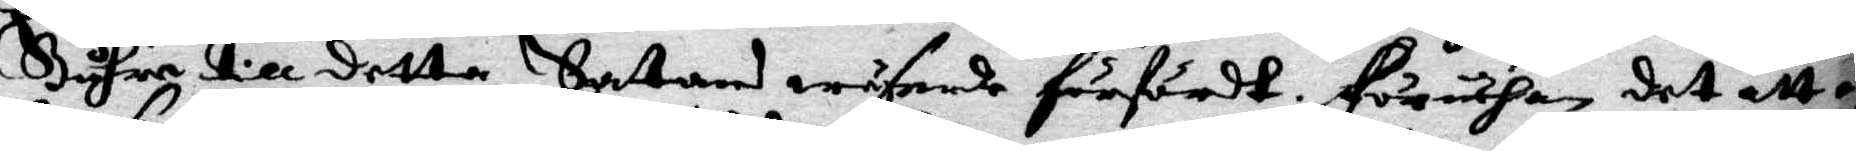Buhre till detta Satans wäsende förfördt. Häruthan det att
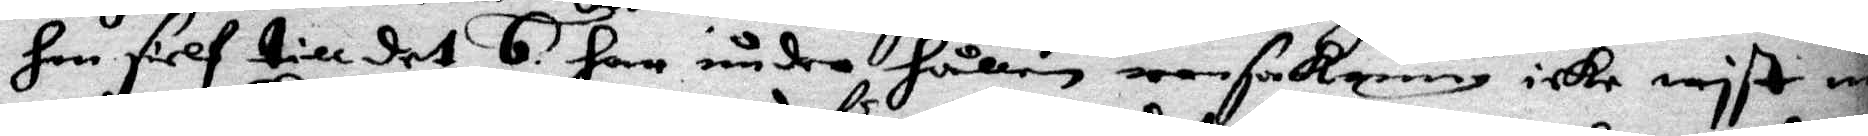hon sielf till det 6. har under hållen ransakning icke wist nå¬
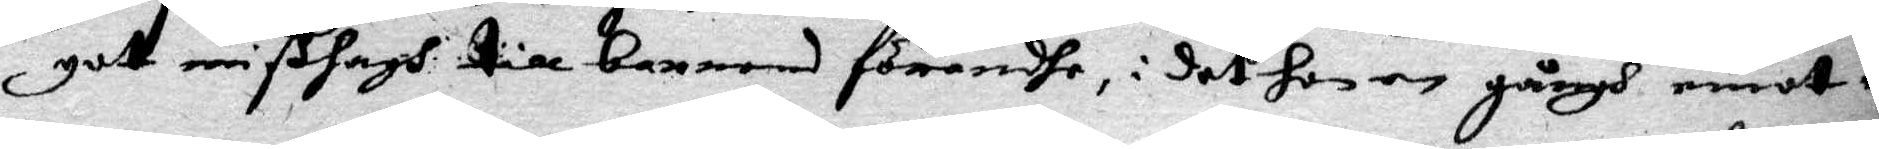got mißhagh till barnens förandhe, i det hon en gångh emot en
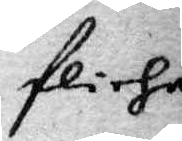flicha
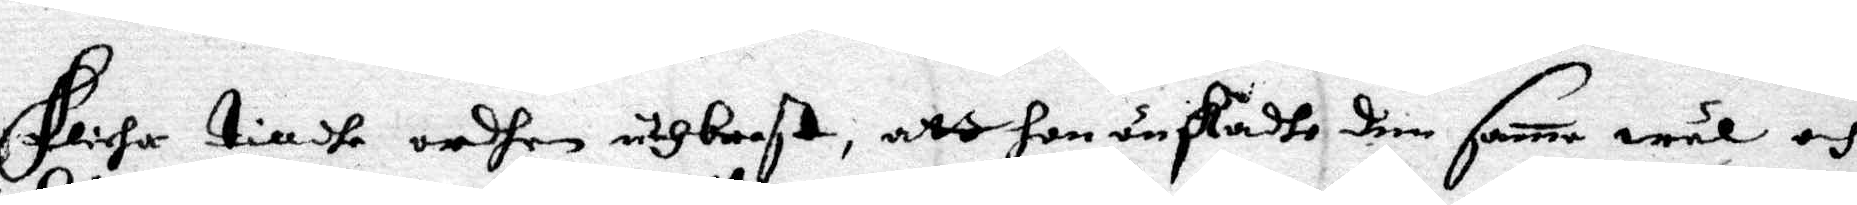flicha till dhe ordhen uthbrast, att hon unskadhe den sama wäl och
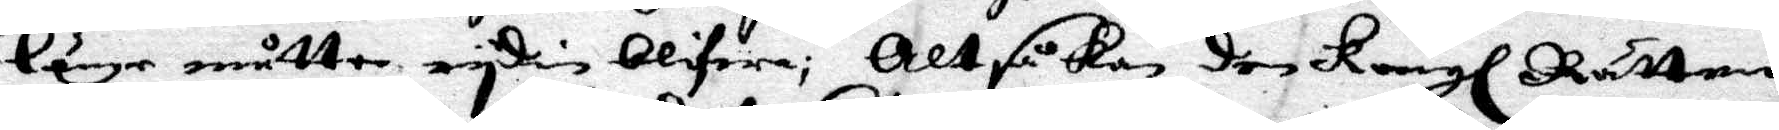länge måtte ryden blifwa; Altså kan den Kungl Rätten
